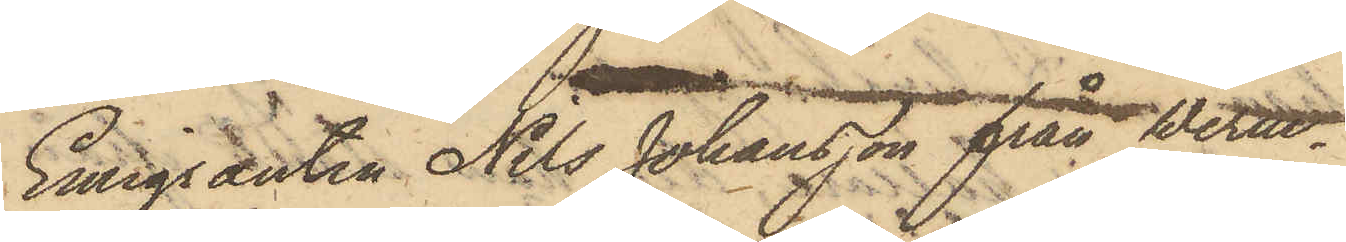Emiganten Nils Johansson från Werm¬
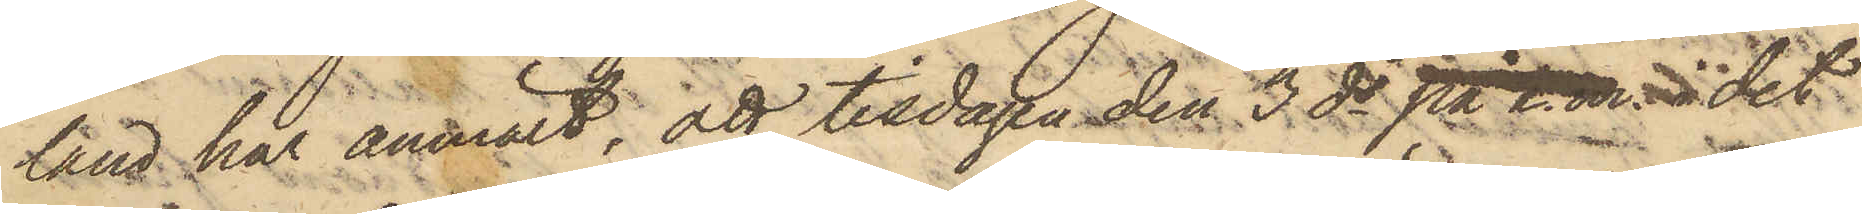land har anmält, att tisdagen den 3 ds på f.m. i det
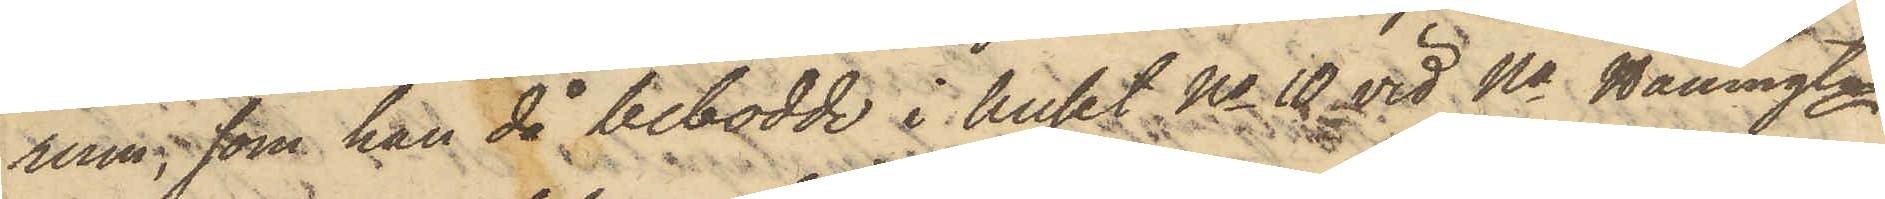rum, som han då bebodde i huset No 10 vid Na Hamngtn
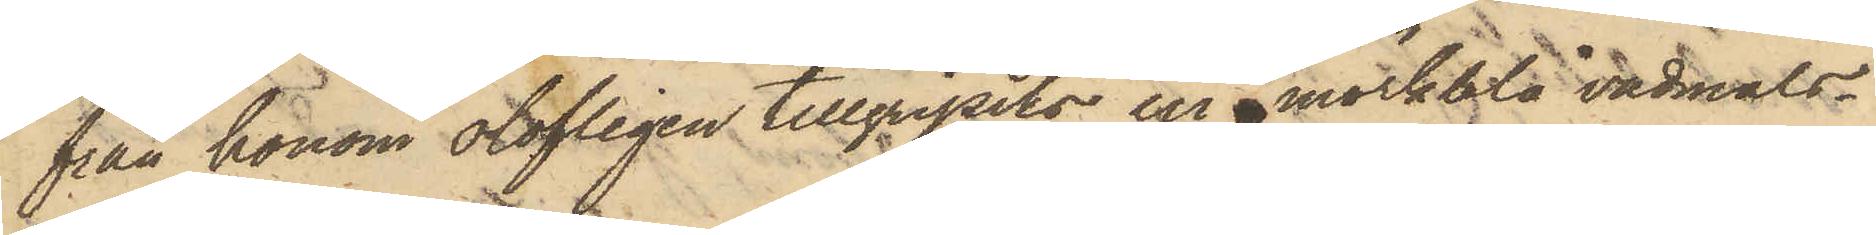från honom olofligen tillgripits en mörkblå vadmals¬
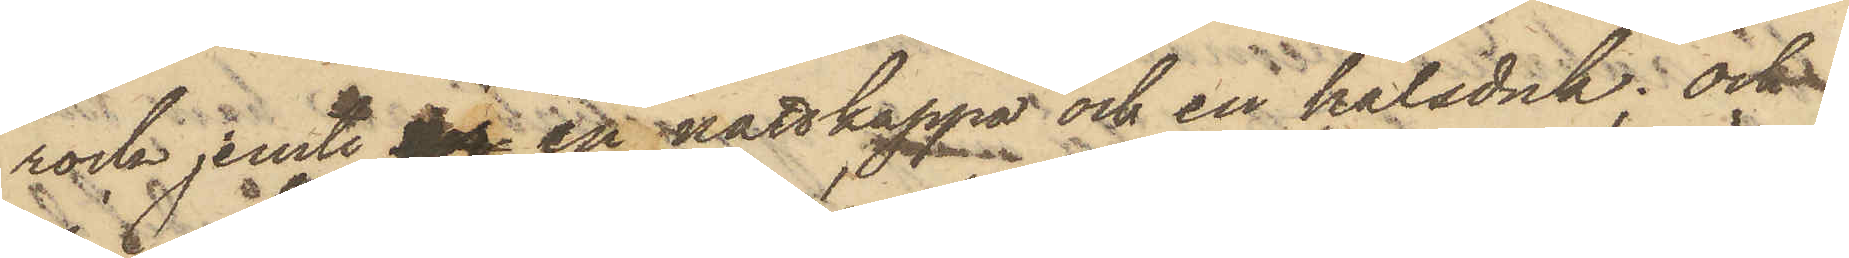rock jemte t en nattkappa och en halsduk; och
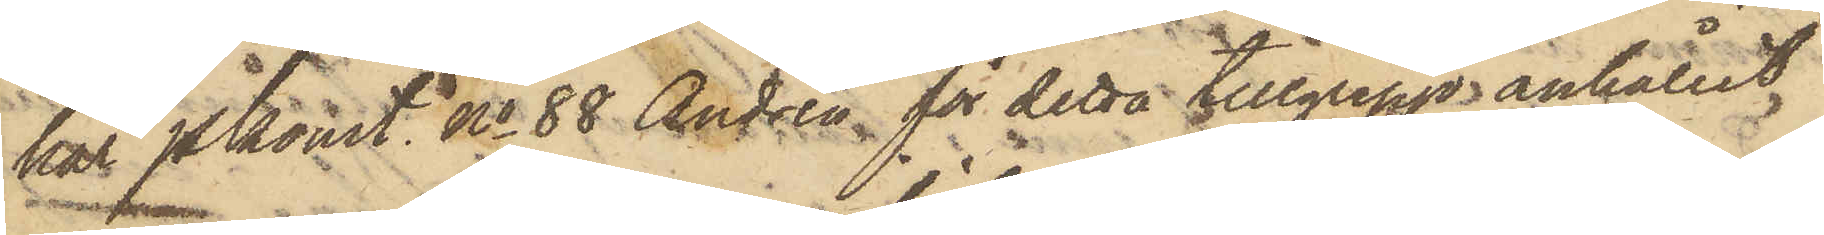har Pkonst No 88 Andrén för detta tillgrepp anhållit
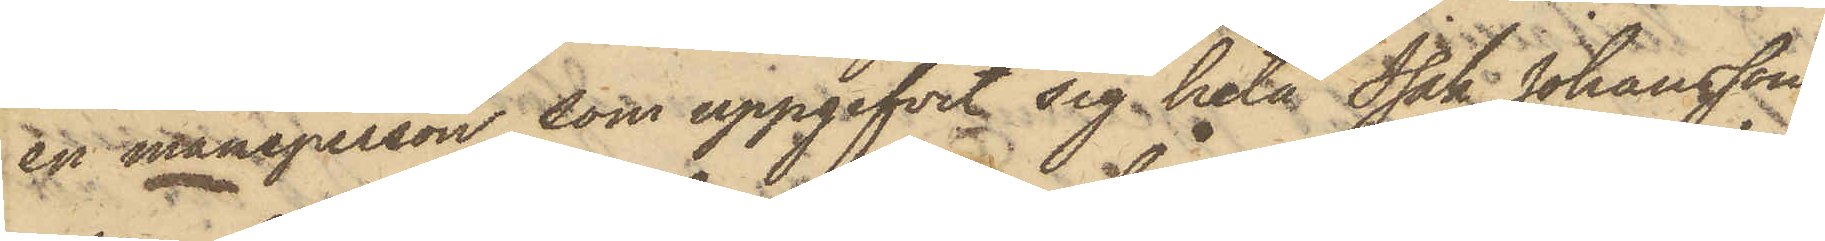en mansperson, som uppgifvit sig heta Isak Johansson
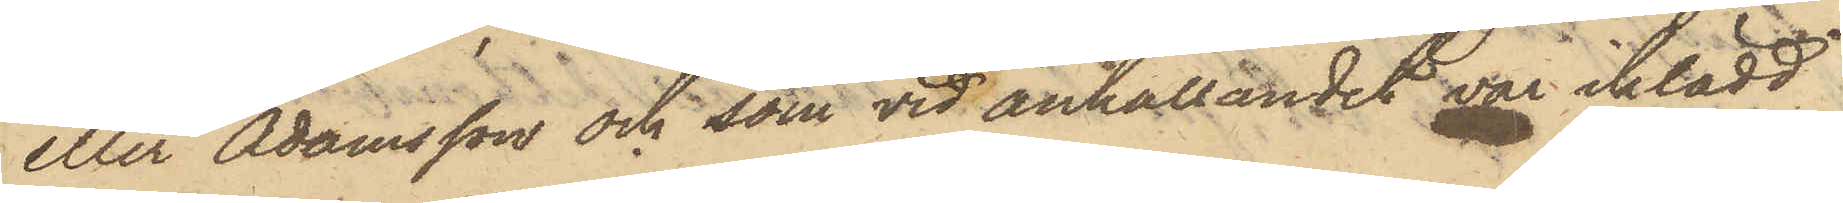eller Adamsson och som vid anhållandet var iklädd
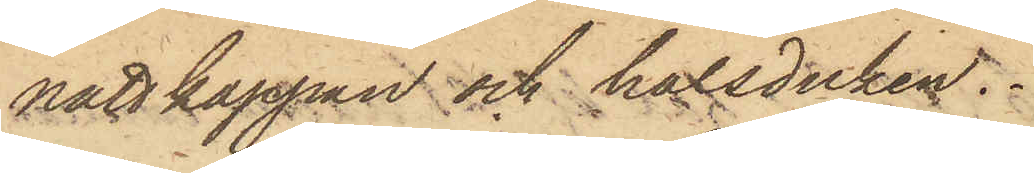nattkappan och halsduken.
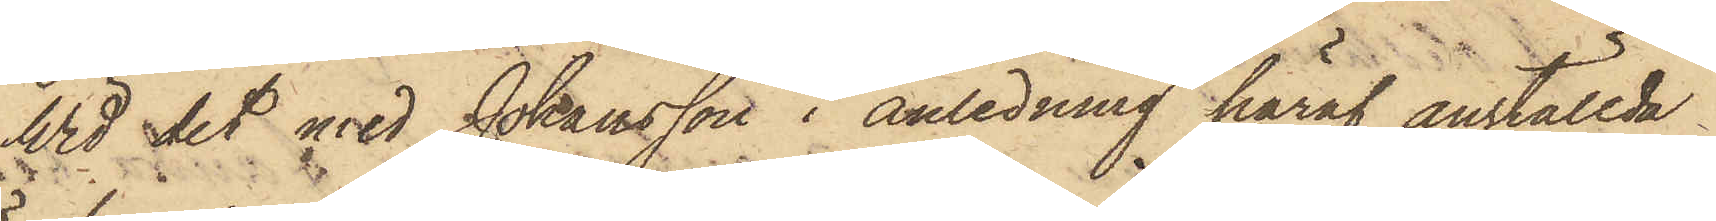Wid det med Johansson i anledning häraf anställda
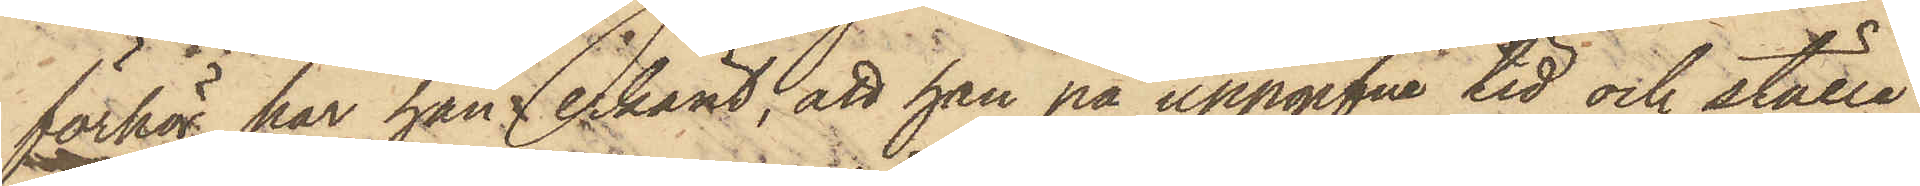förhör har han erkänt, att han på uppgifne tid och ställe
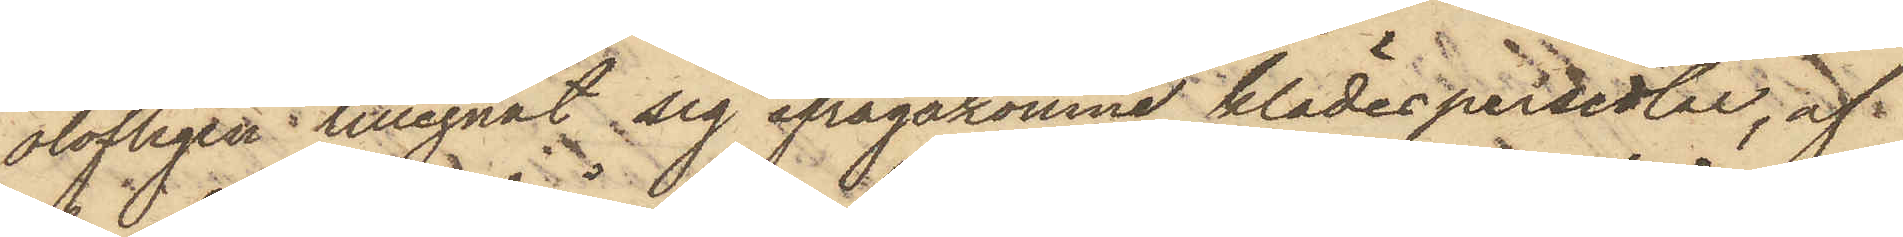olofligen tillegnat sig ifrågakomne klädespersedlar, af
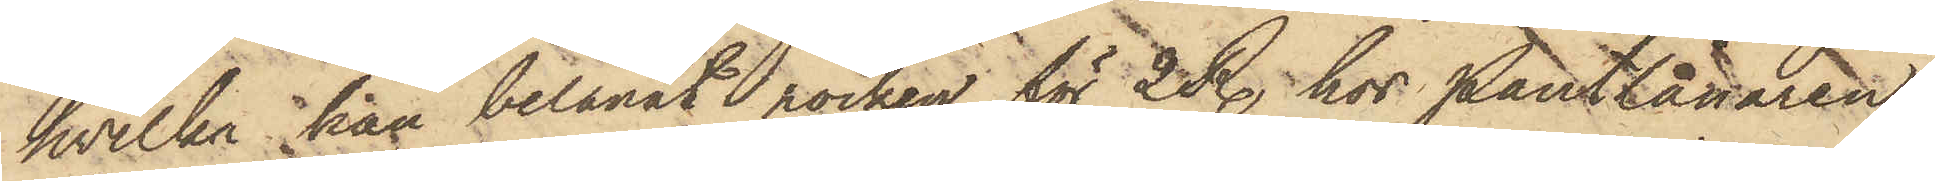hvilka han belånat rocken för 2 R. hos Pantlånaren
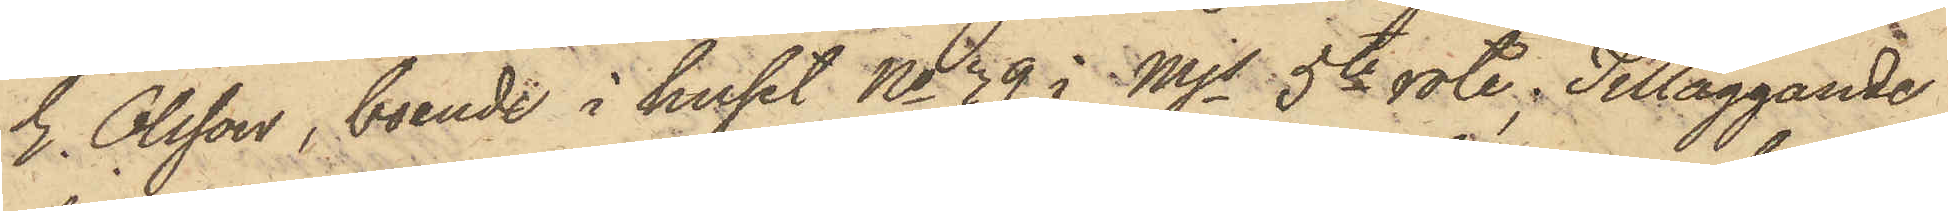E. Olsson, boende i huset No 39 i Mjs 5te rote; Tilläggande
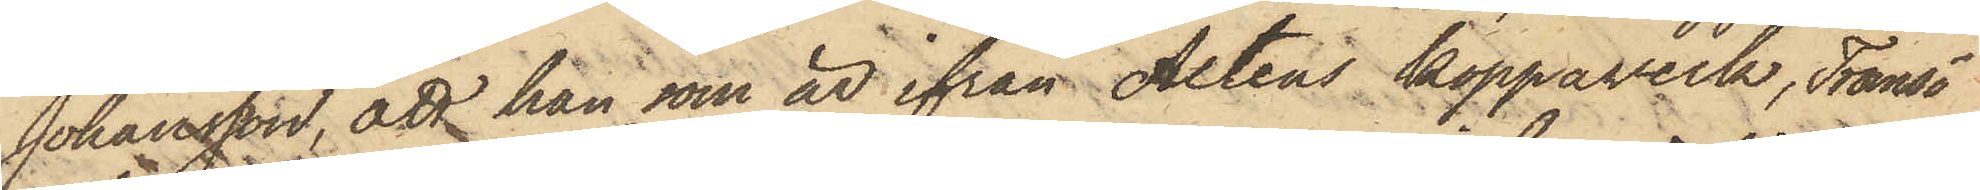Johansson, att han som är ifrån Altens kopparverk, Tromsö
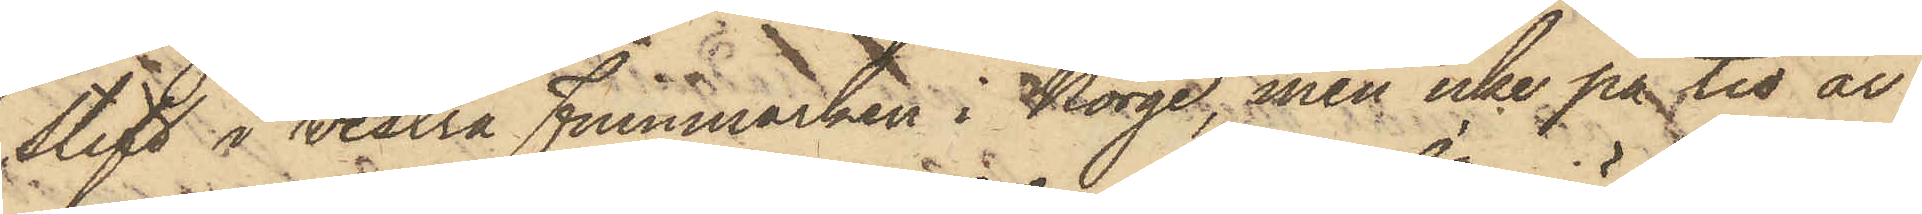stift i Vestra Finnmarken i Norge, men icke på tio år
